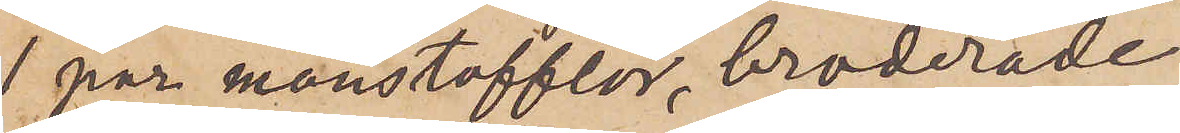1 par manstofflor, broderade
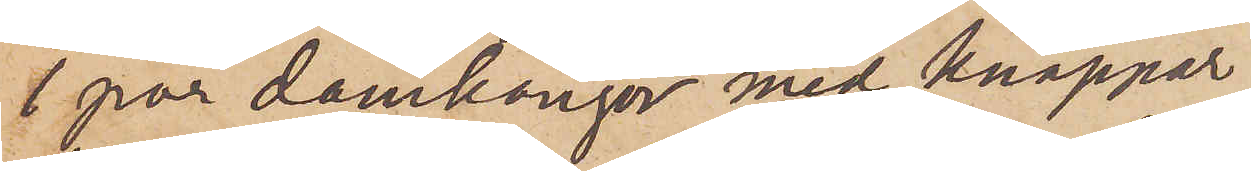1 par damkängor med knappar
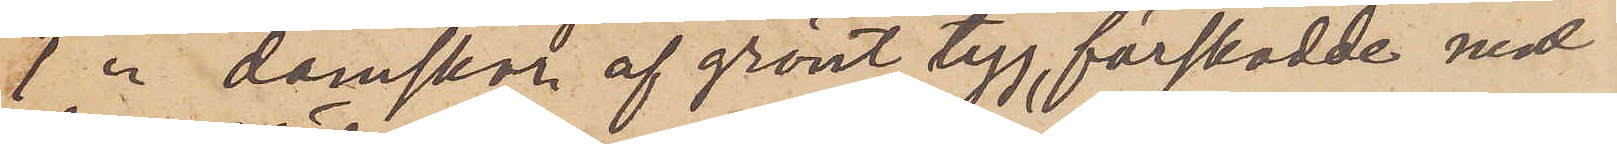1 par damskor af grönt tyg, förskodde med
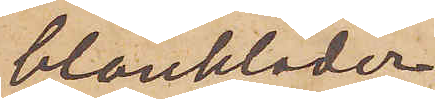blankläder
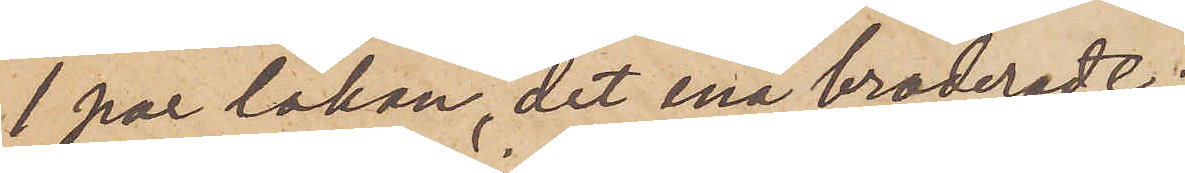1 par lakan, det ena broderadt;
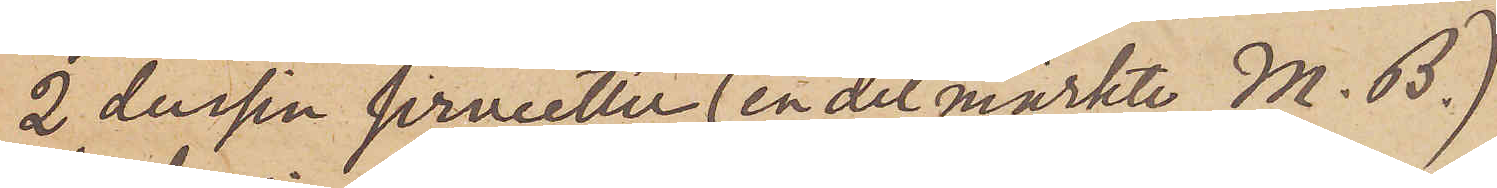2 dussin servietter (en del märkte M. B.)
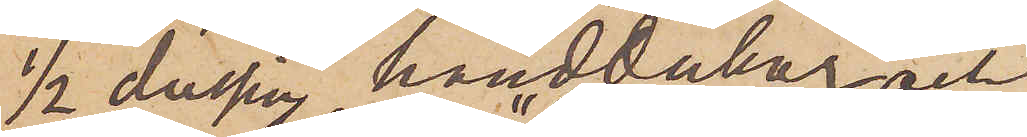½ dussin handdukar och
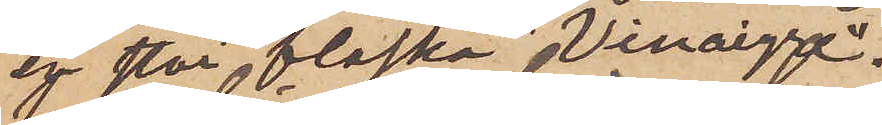en stor flaska "Vinaigre".
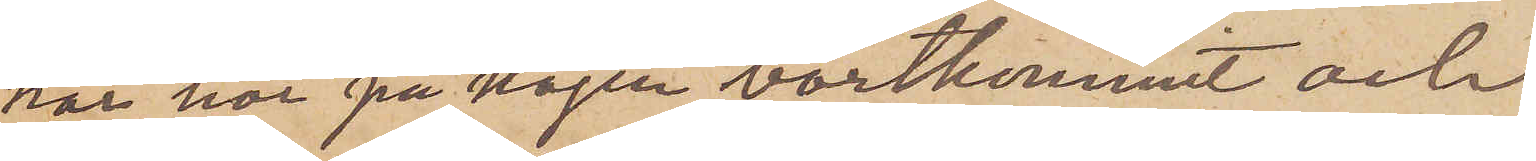har här på kajen bortkommit och
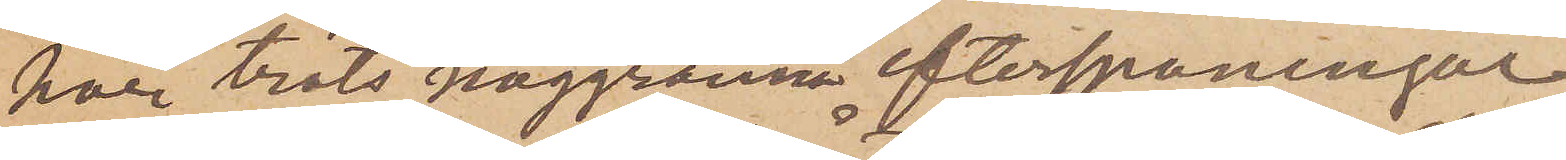har trots noggranna efterspaningar
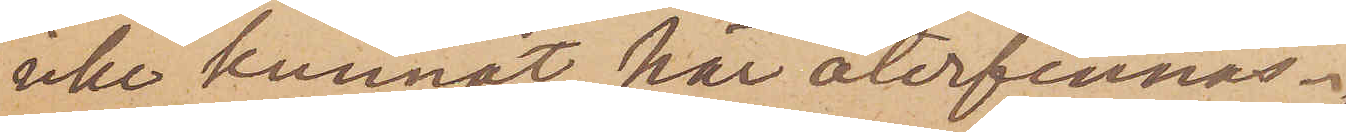icke kunnat här återfinnas.
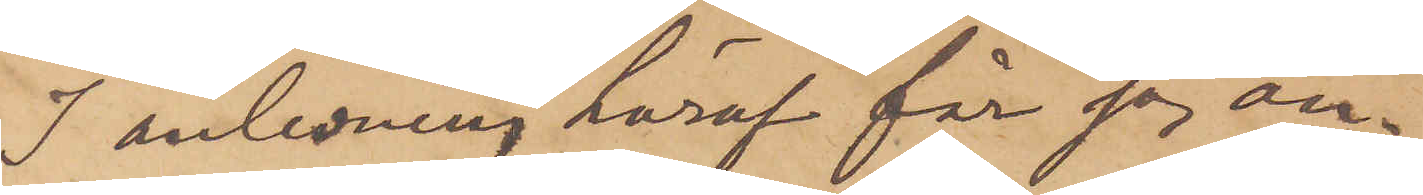I anledning häraf får jag an¬
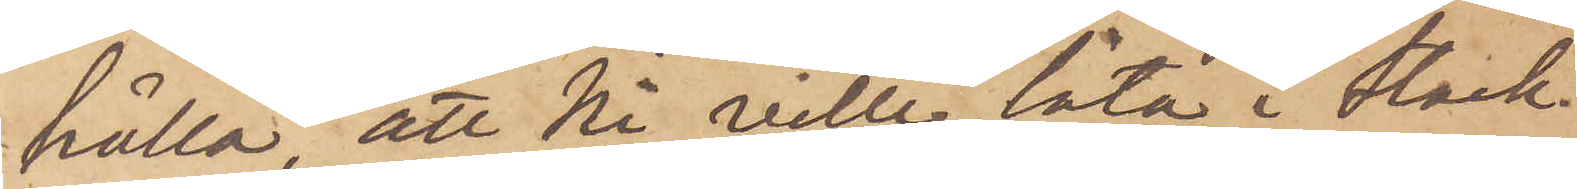hålla, att Ni ville låta i Stock¬
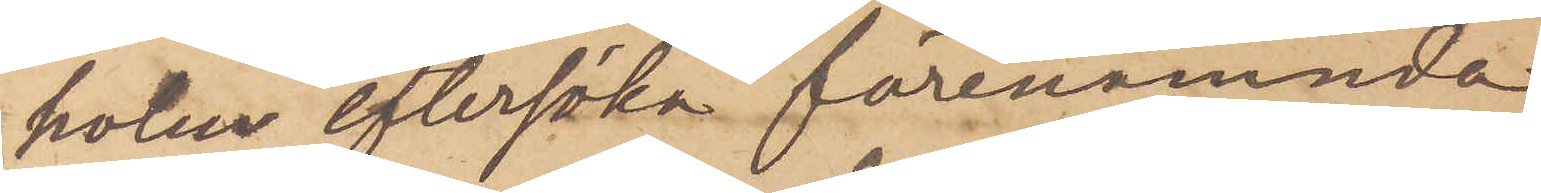holm eftersöka förenämnda
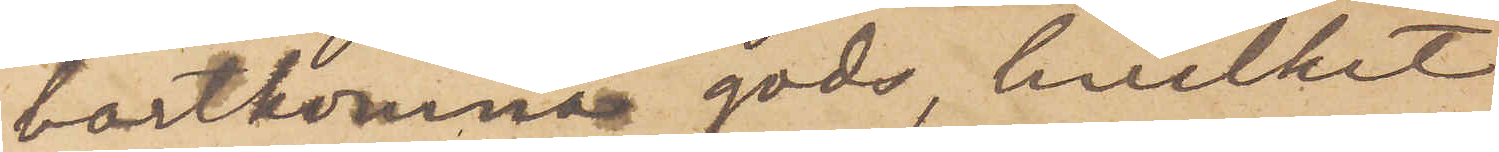bortkomna gods, hvilket
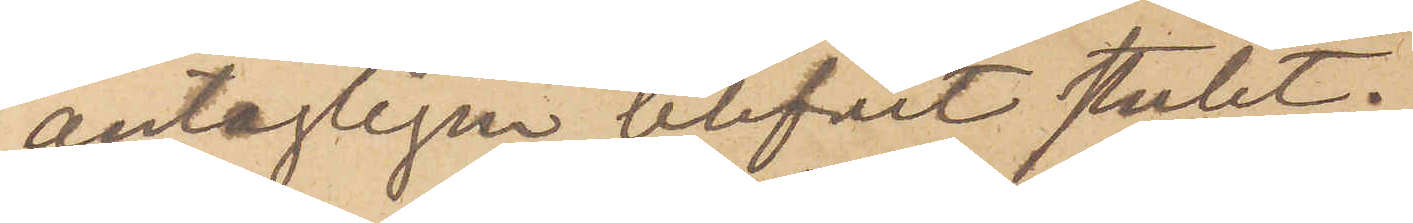antagligen blifvit stulet.
